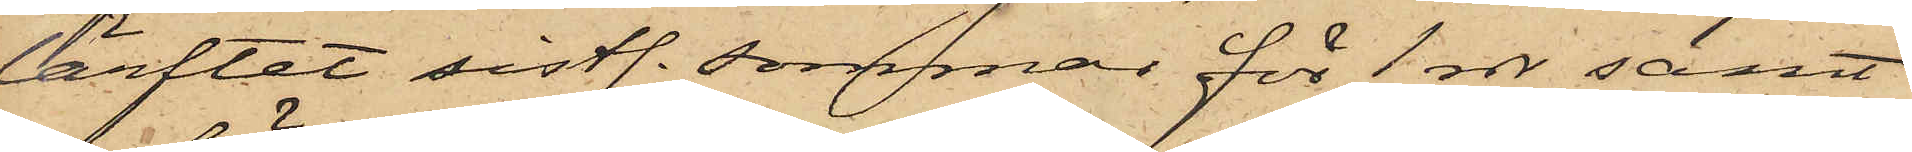lärftet sistl. sommar för 1 rdr samt
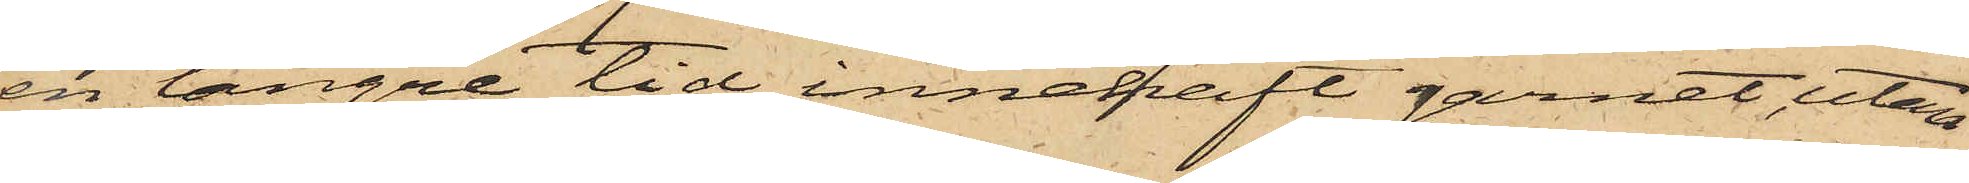en längre tid innehaft garnet, utan
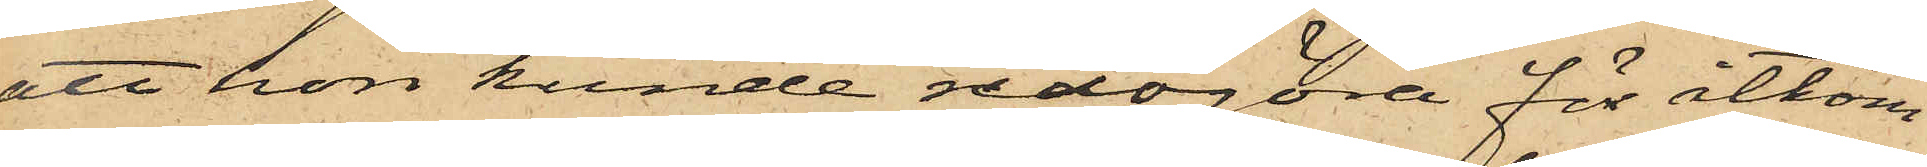att hon kunde redogöra för åtkom¬
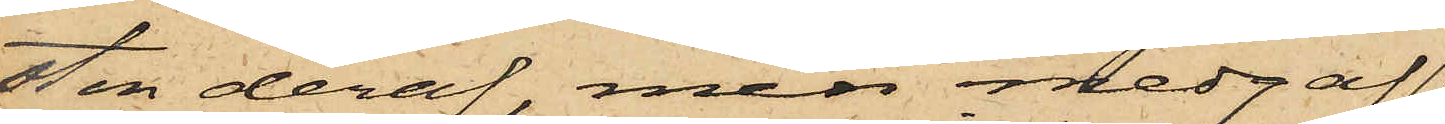sten deraf, men medgaf
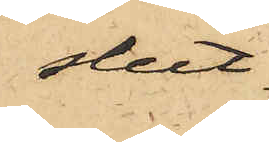slut¬
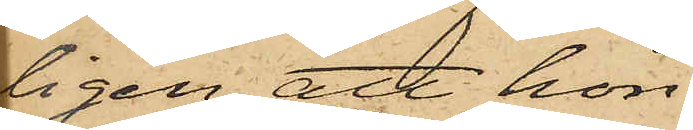ligen att hon
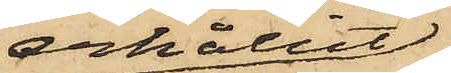erhållit
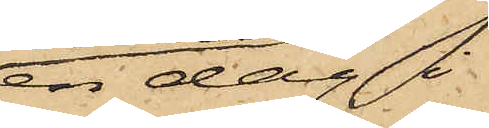en dag i
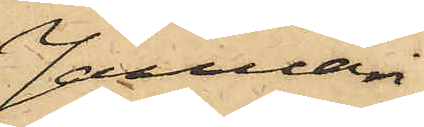Januari
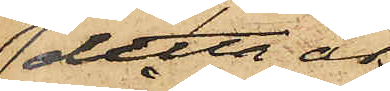detta år
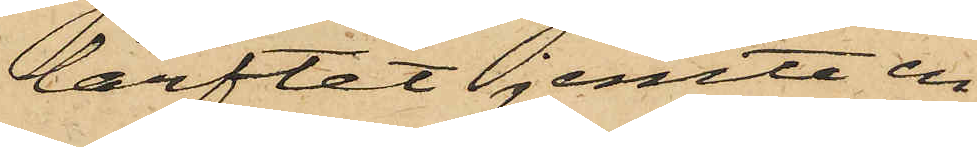lärftet jemte en
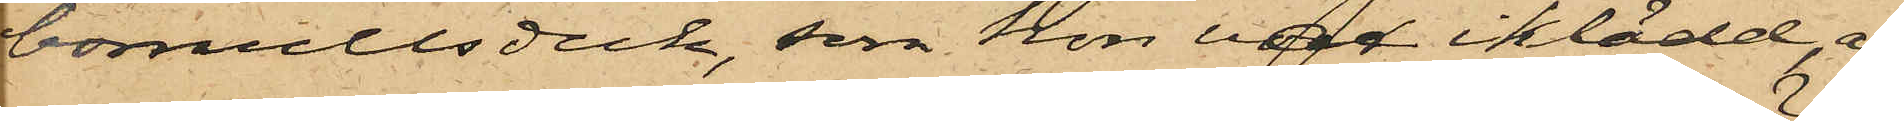bomullsduk, som hon vara iklädd, af
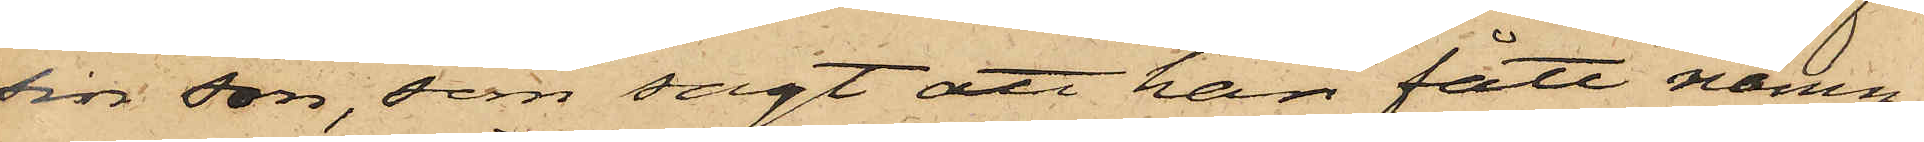sin son, som sagt att han fått nämn¬
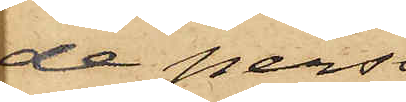de pers¬
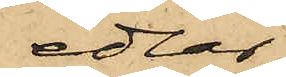edlar
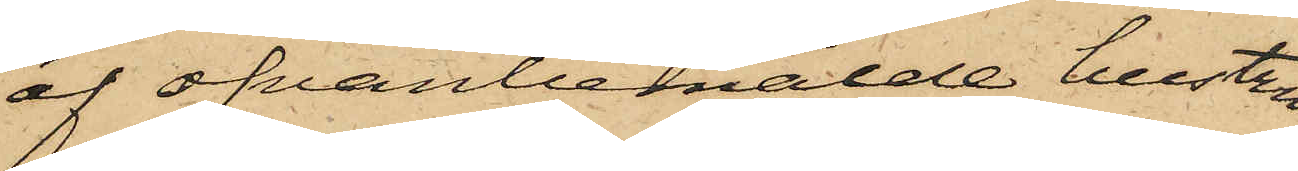af ofvanbemälde hustru
